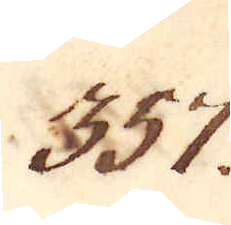357.
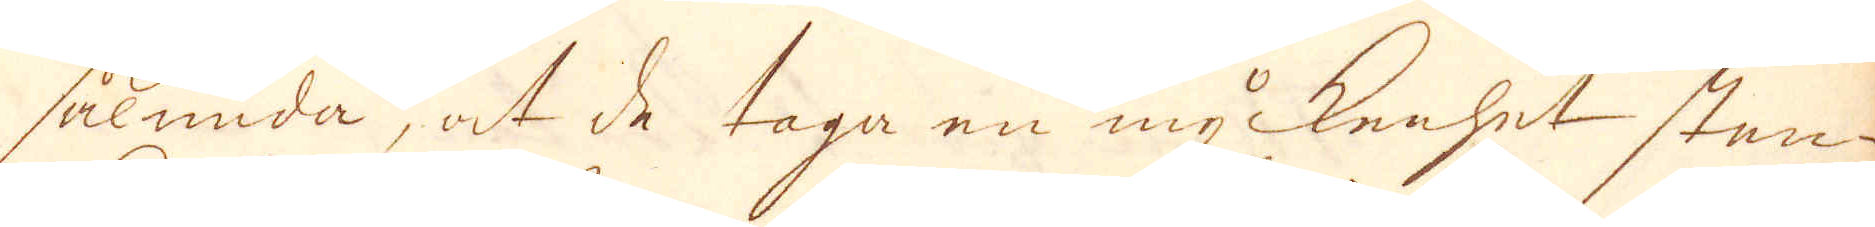sålunda, at de taga en myckenhet sten-
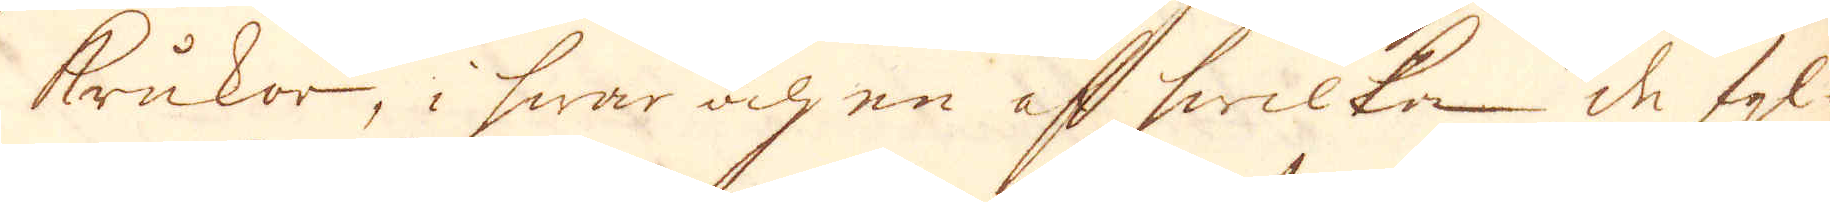krukor, i hwar och en af hwilken de fyl-
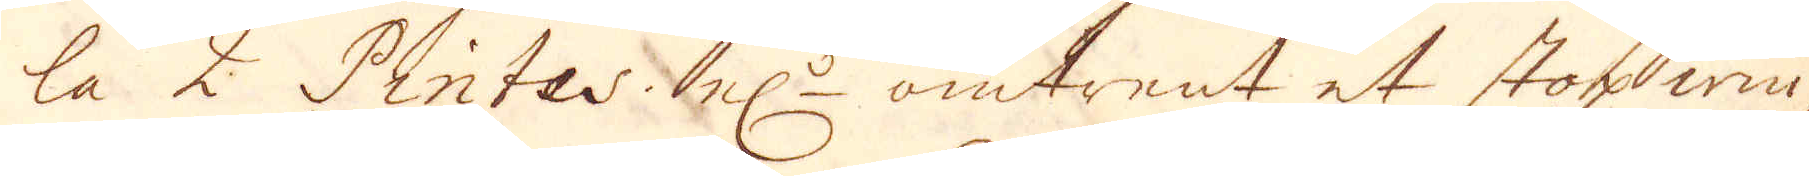la 2 Pintes el:r omtrent et stop win,
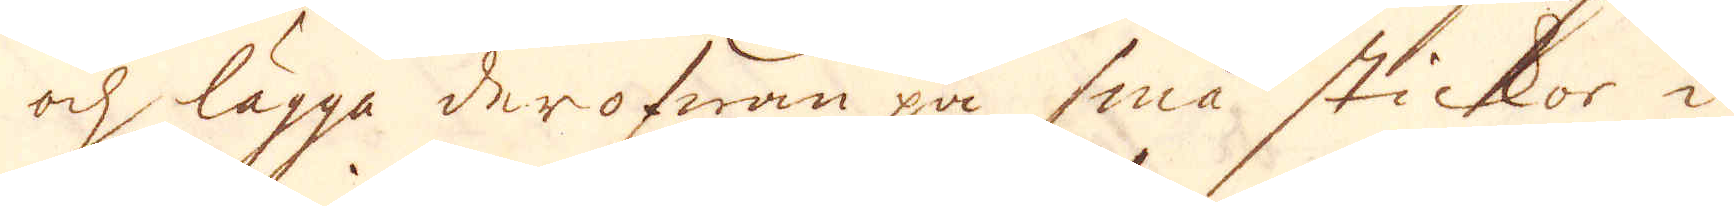och lägga derofwan på små stickor i
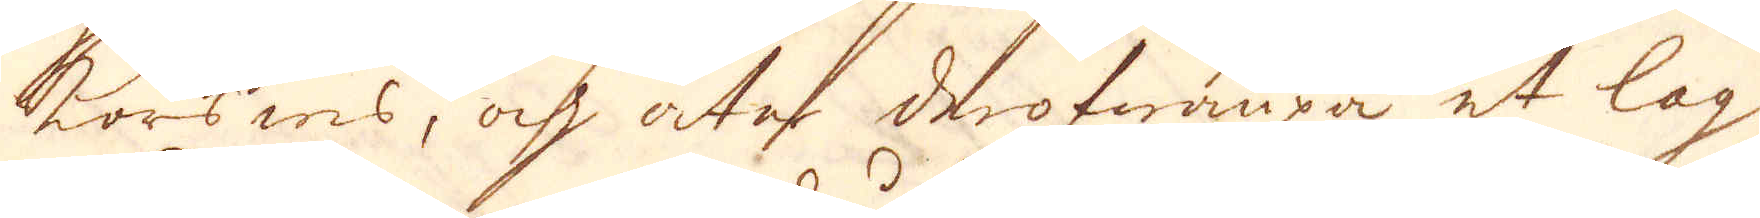korswis, och åtas derofwanpå et lag
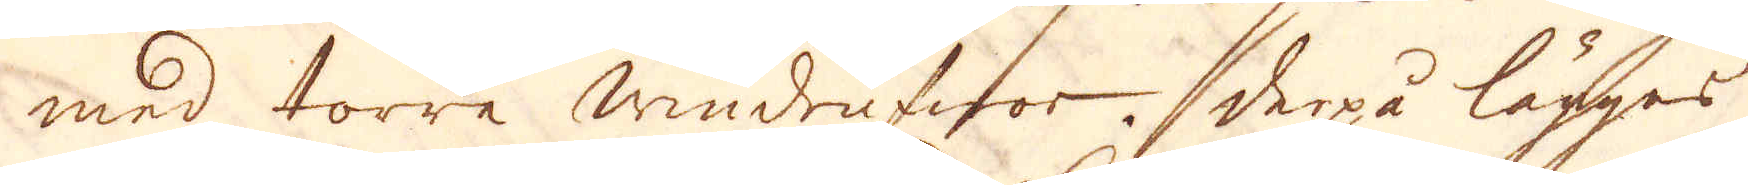med torre windrufwor. Derpå lägges
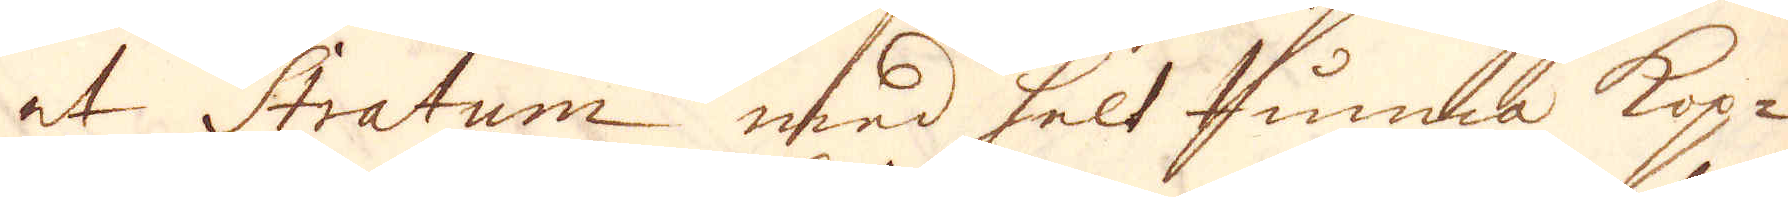et Stratum med helt tunna kop-
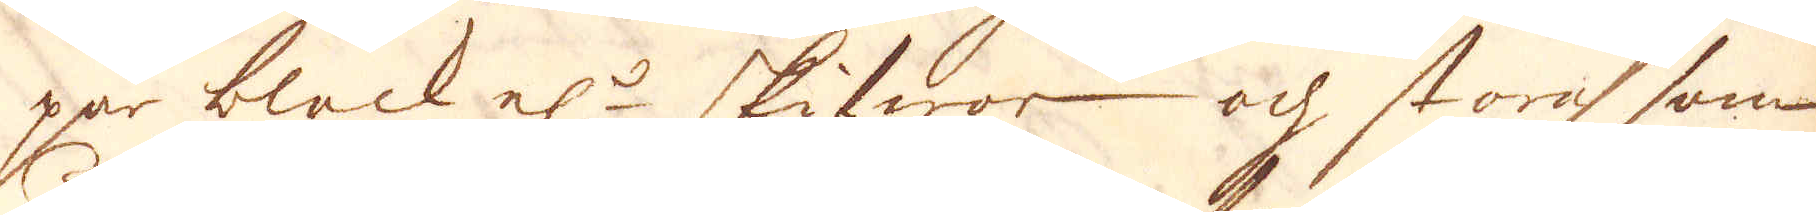par bleck el:r skifwor och stora som
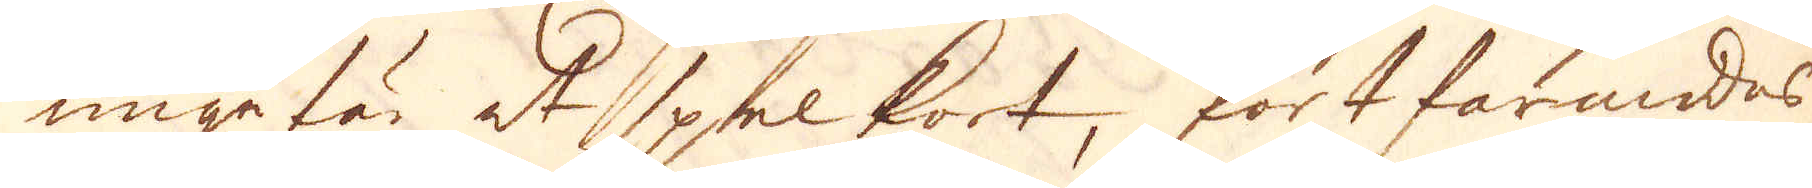ungefär et spelkort, fortfarandes
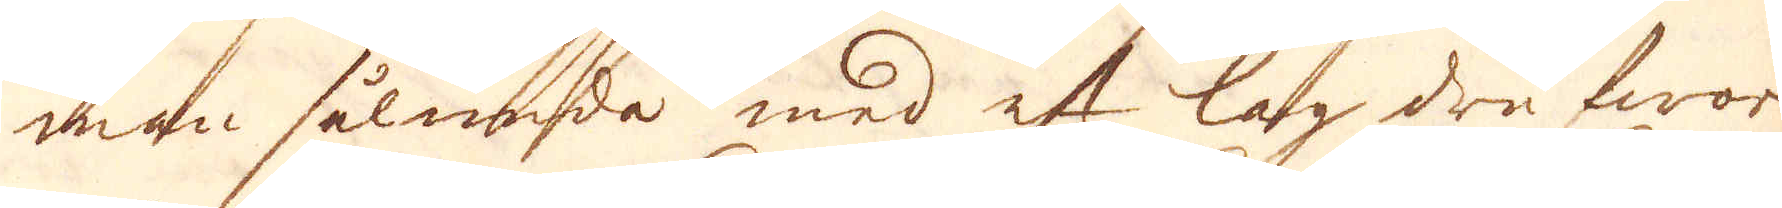man sålunda med ett lag drufwor
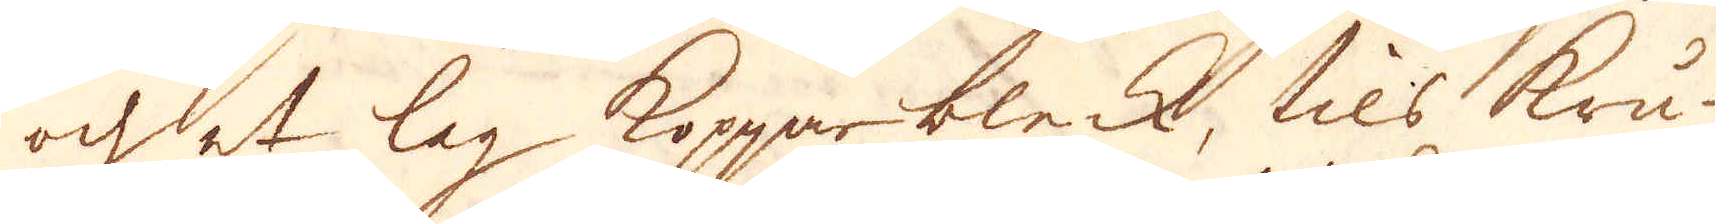och et lag Kopparbleck, tils kru-
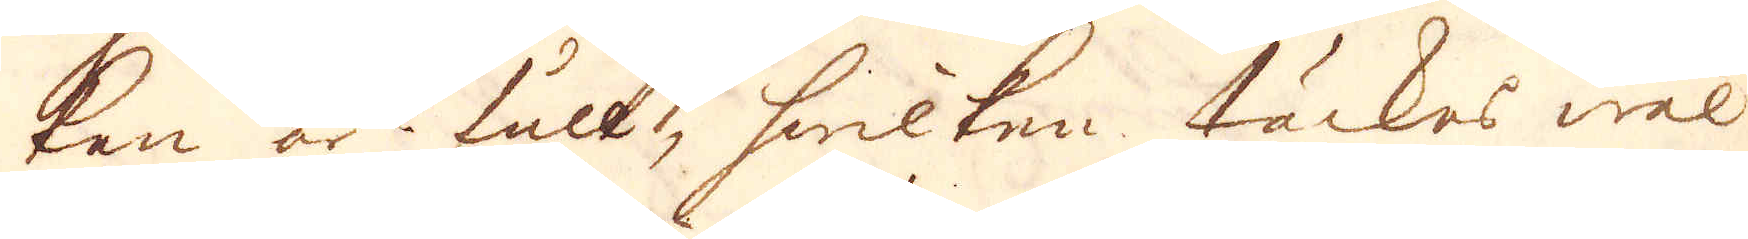kan är full, hwilken täckes wäl
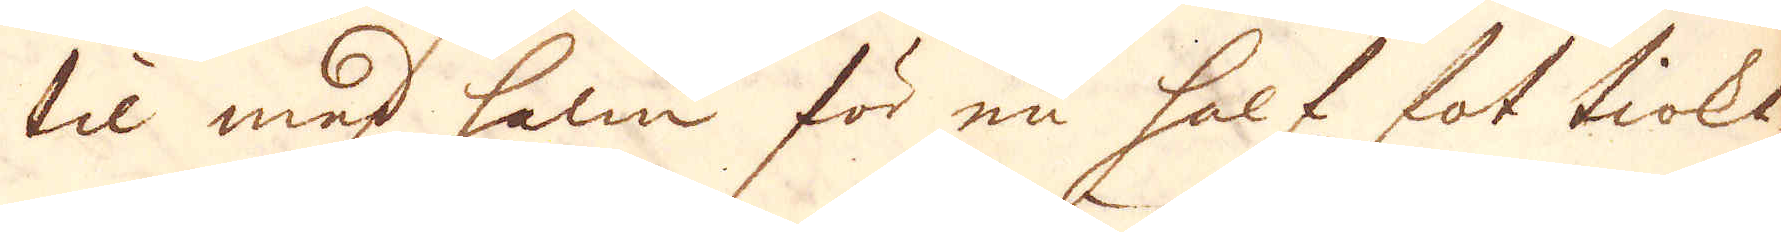til med halm för en half fot tiokt,
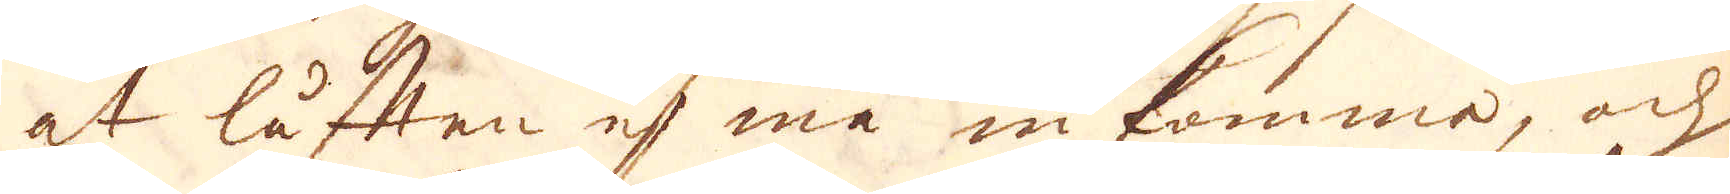at luften ej må inkomma, och
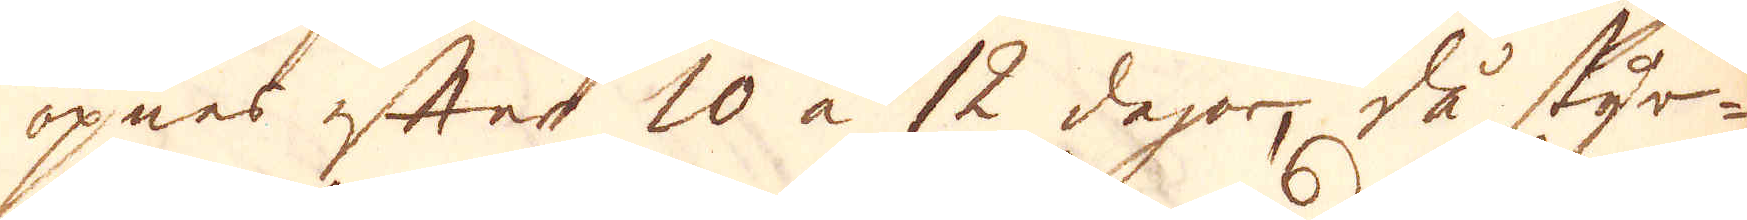öpnes efer 10 a 12 dagor då styr-
